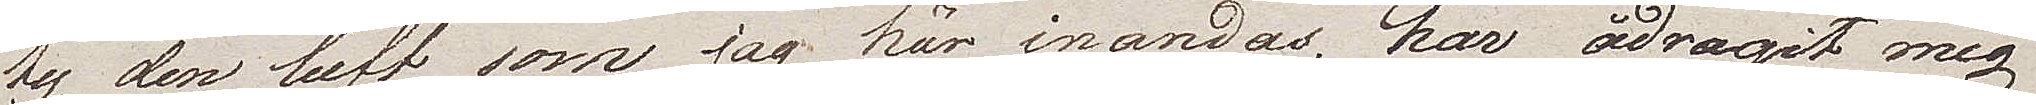ty den luft som jag här inandas, har ådragit mig
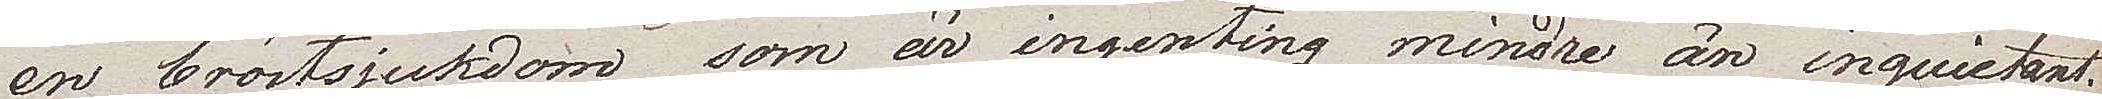en bröstsjukdom, som är ingenting mindre än inquietant.
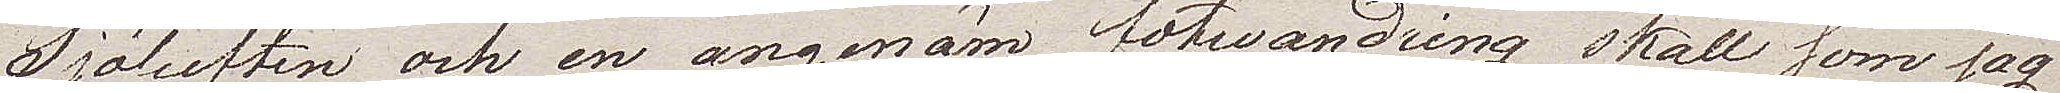Sjöluften och en angenäm fotvandring skall som jag
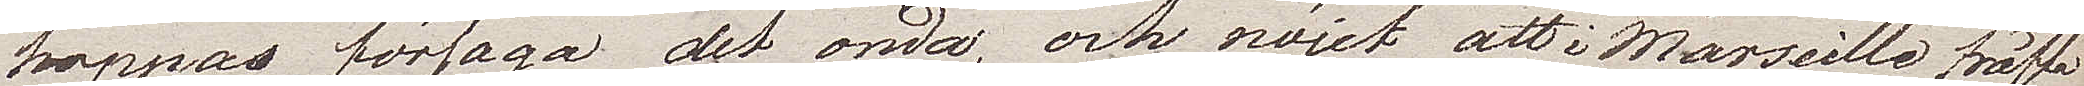hoppas förjaga det onda, och nöjet att i Marseille träffa
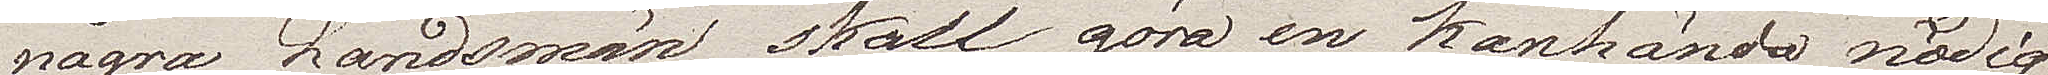några Landsmän, skall göra en kanhända nödig
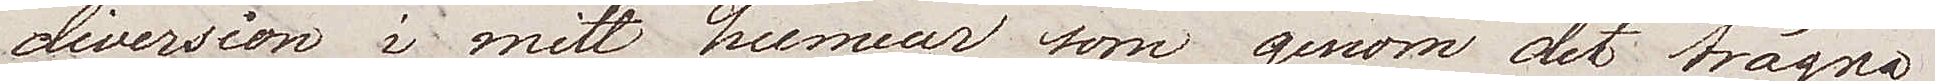diversion i mitt humeur, som genom det trägna
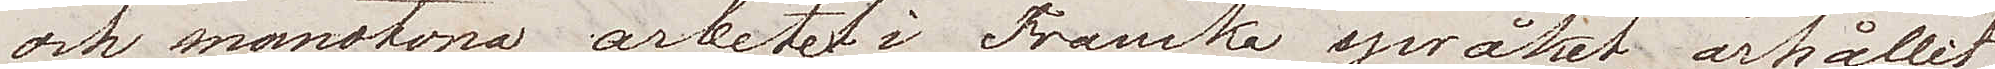och monotona arbetet i Franska språket, ärhållit
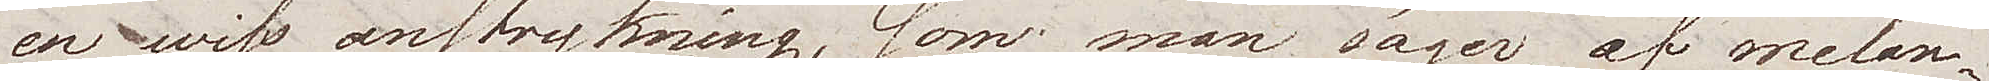en wiss anstrykning, som man säger, af melan¬
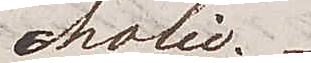cholie.
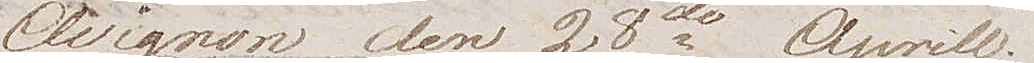Avignon den 23de Aprill
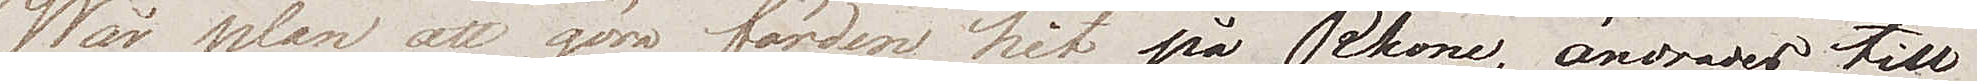Vår plan att göra färden hit på Rhone, ändrades till
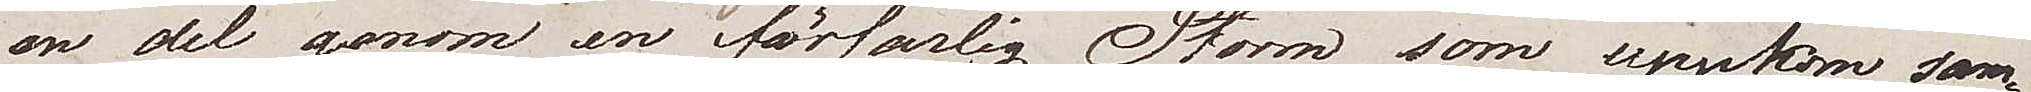en del genom en förfärlig Storm, som uppkom sam¬
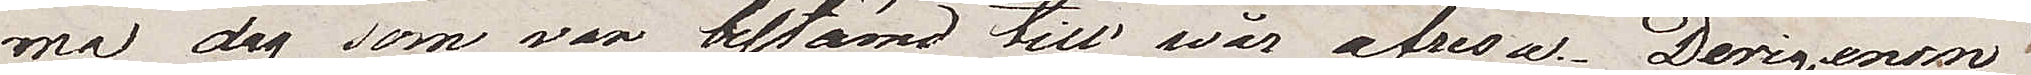ma dag som var bestämd till vår afresa. Derigenom
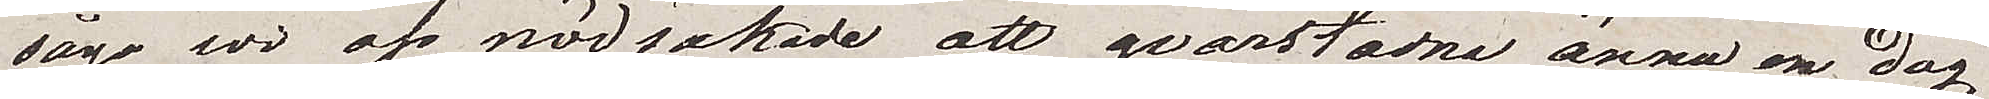sågo vi oss nödsakade att qvarstanna ännu en dag
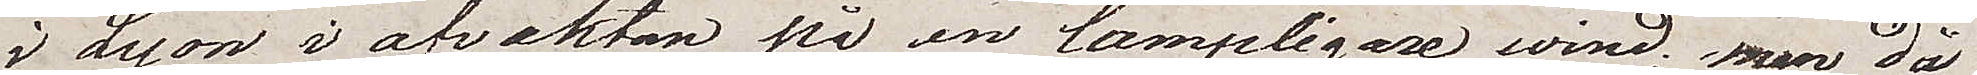i Lyon i afvaktan på en lämpligare vind; men då
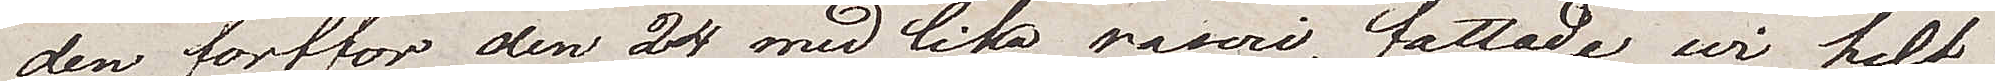den fortfor den 24 med lika raseri, fattade wi helt
